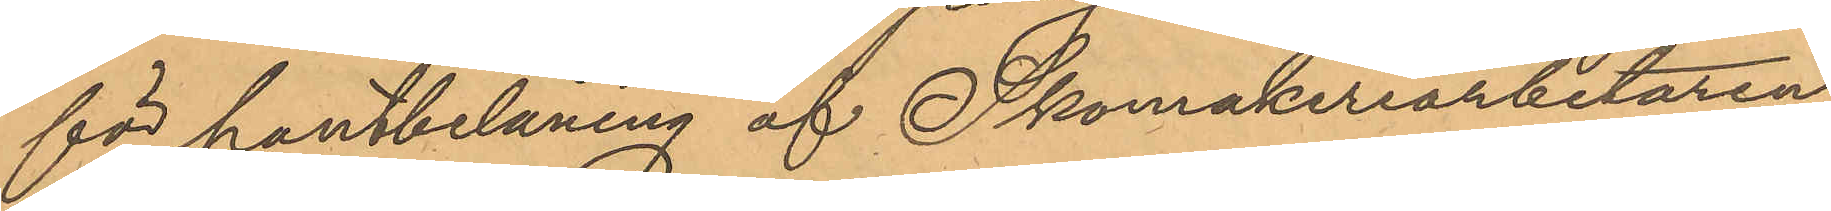för pantbelåning af Skomakeriarbetaren
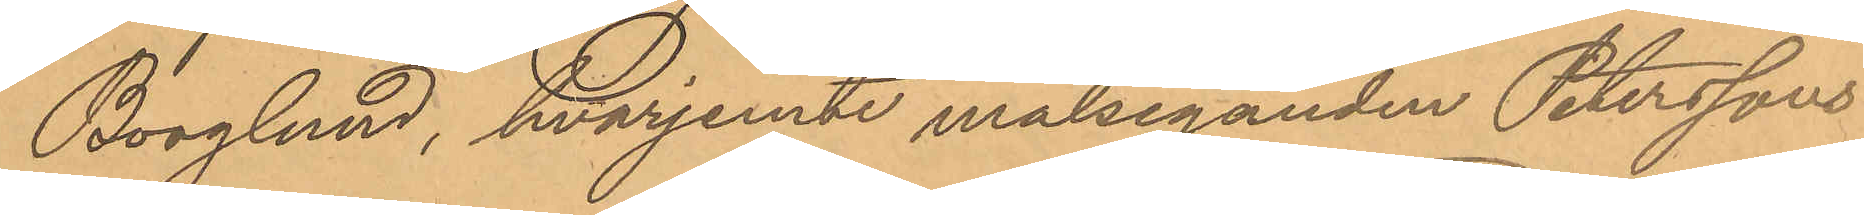Borglund, hvarjemte målseganden Peterssons
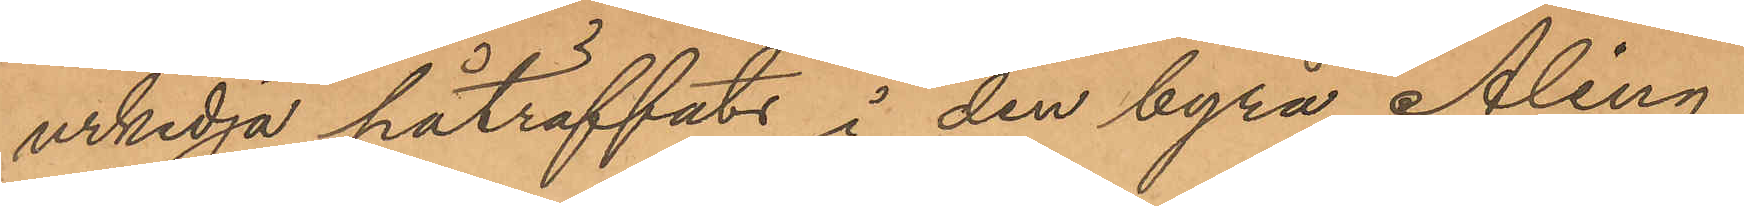urkedja påträffats i den byrå Åling
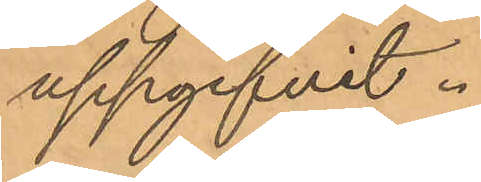uppgifvit.
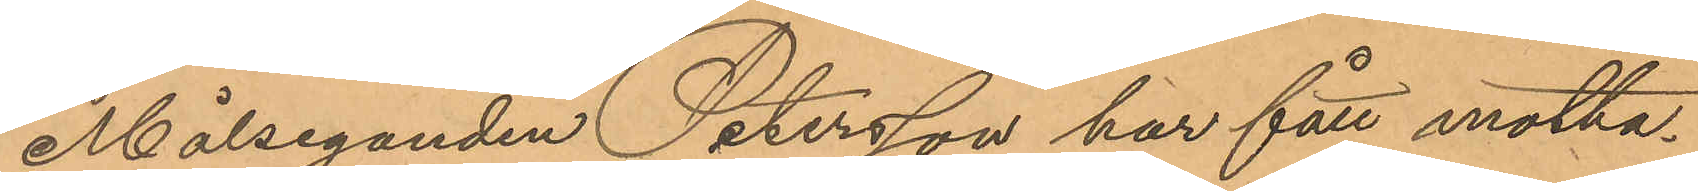Målseganden Petersson har fått motta¬
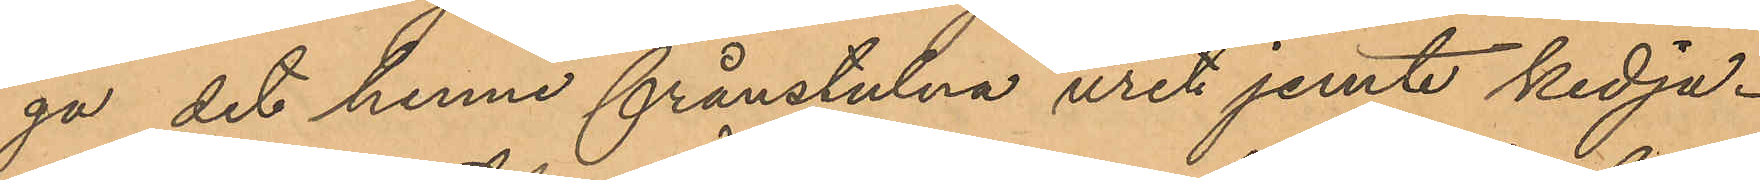ga det henne frånstulna uret jemte kedja.
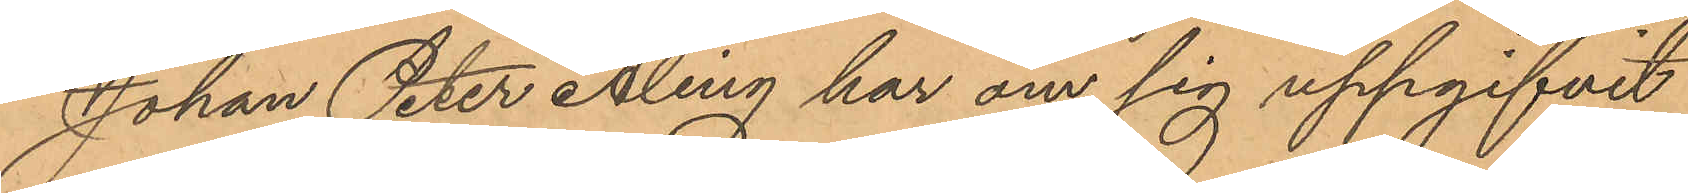Johan Peter Åling har om sig uppgifvit
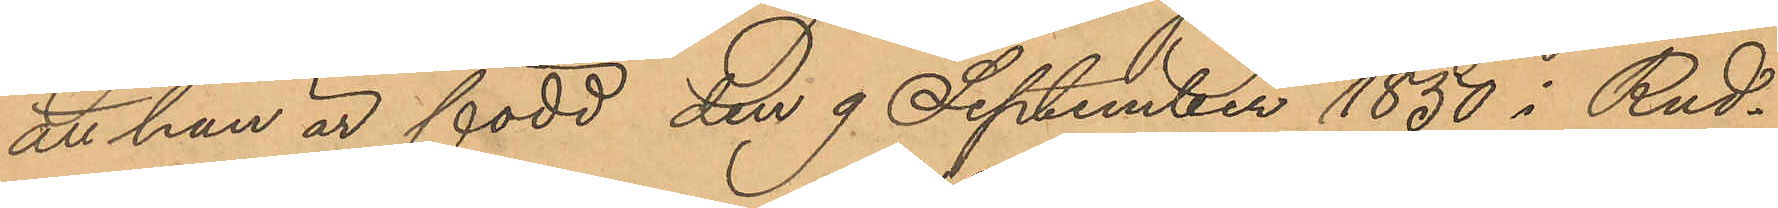att han är född den 9 September 1850 i Rud¬
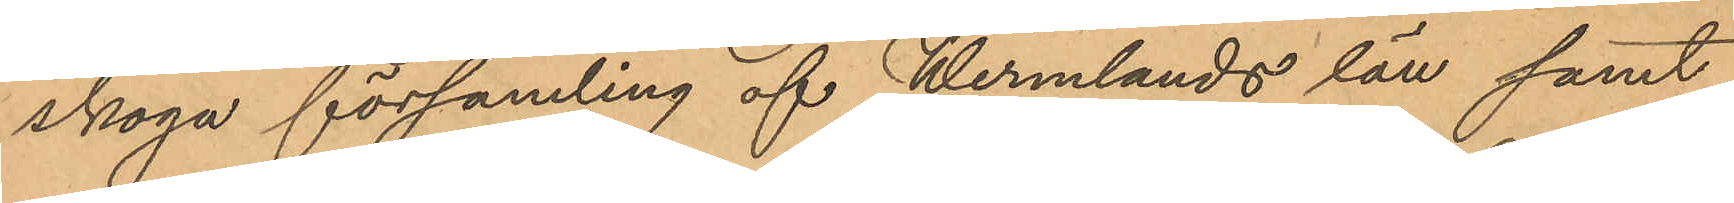skoga församling af Wermlands län samt
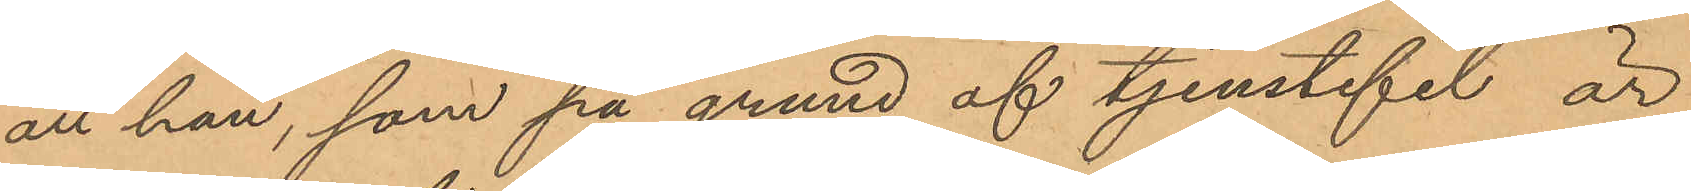att han, som på grund af tjenstefel är
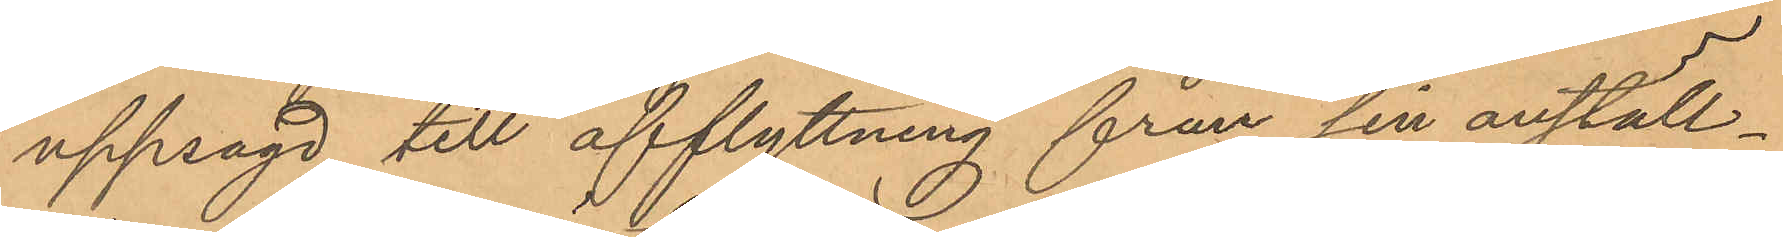uppsagd till afflyttning från sin anställ¬
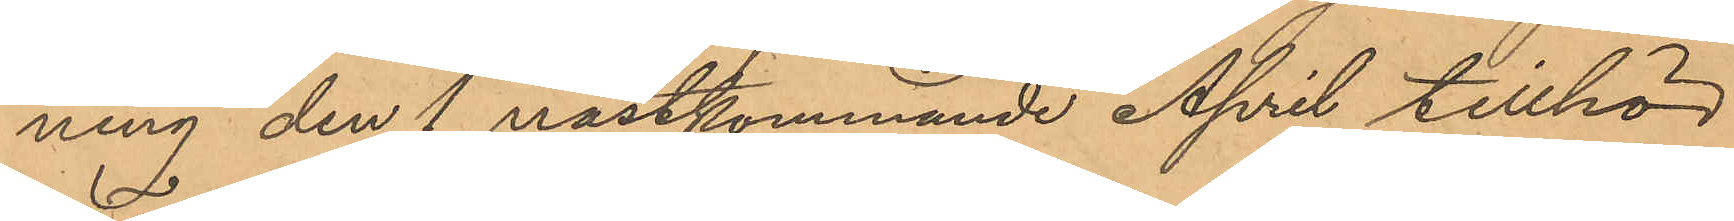ning den 1 nästkommande April tillhör
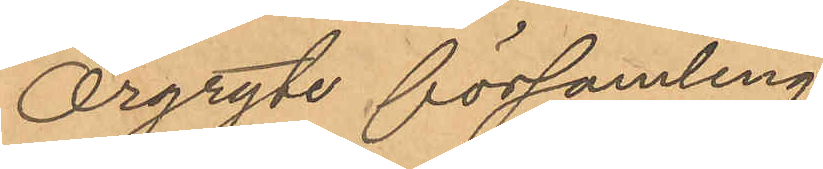Örgryte församling.
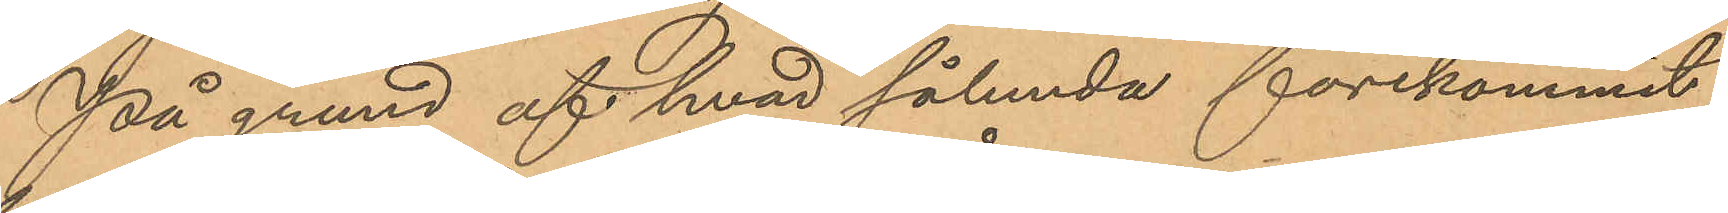På grund af hvad sålunda förekommit
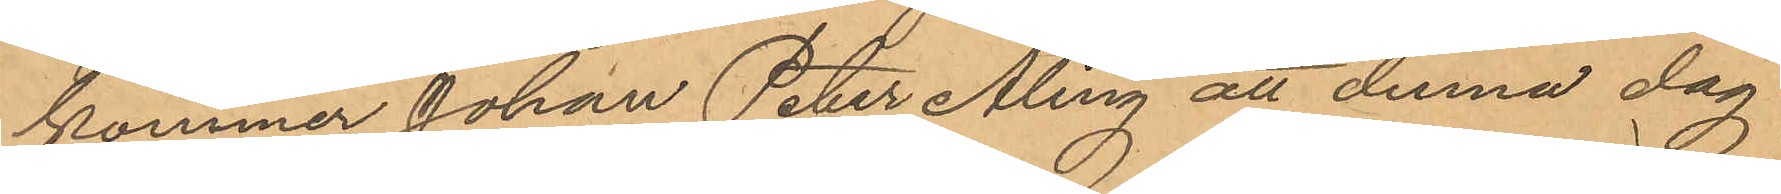kommer Johan Peter Åling att denna dag
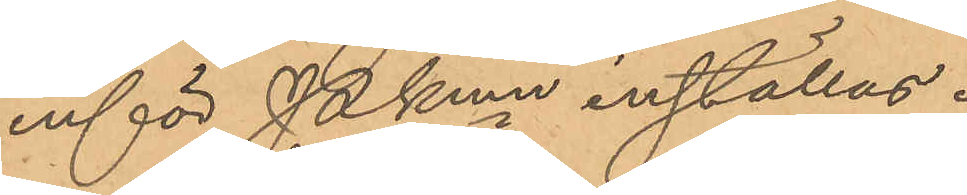inför Pkmn inställas.
